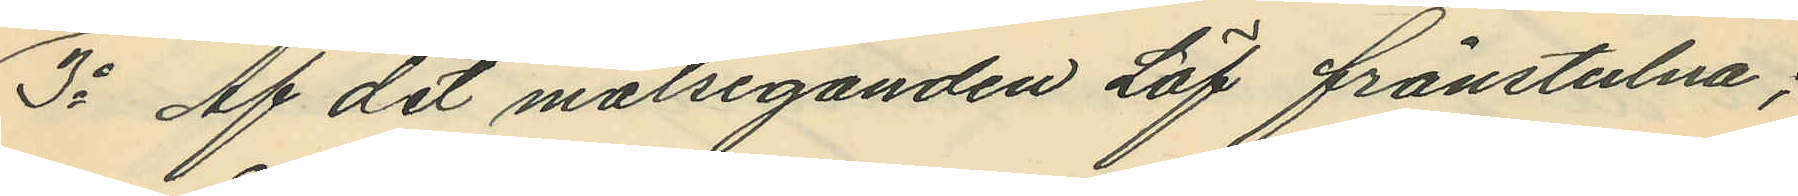3o Af det målseganden Löf frånstulna;
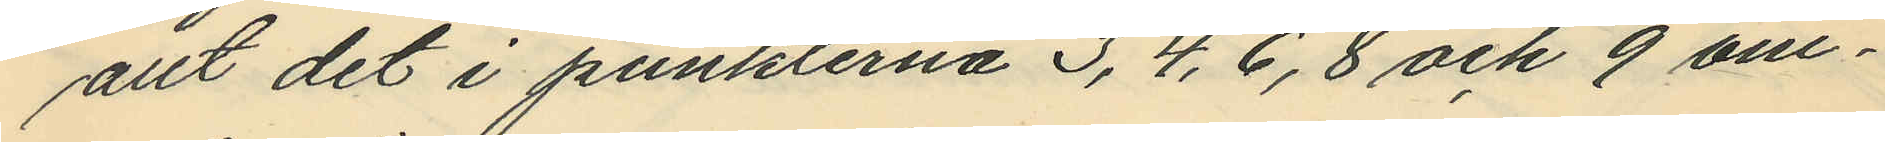allt det i punkterna 3, 4, 6, 8 och 9 om¬
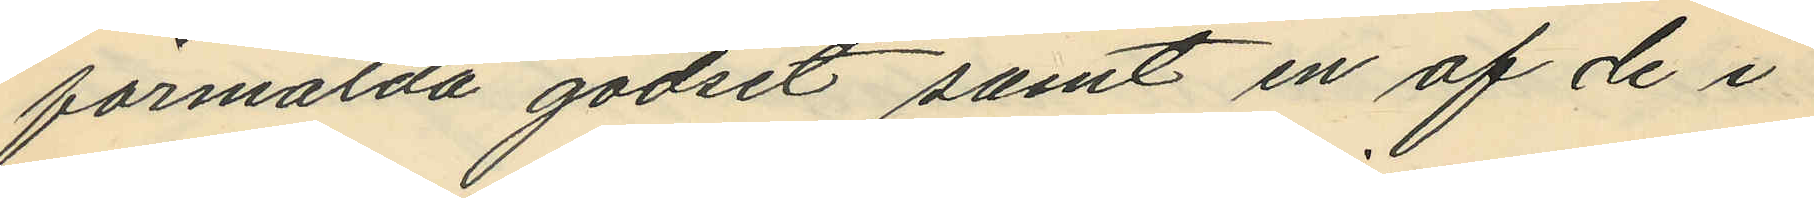förmälda godset samt en af de i
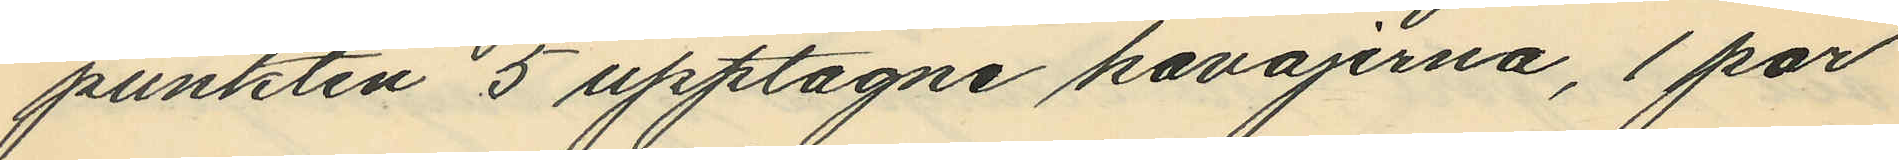punkten 5 upptagne kavajerna, 1 par
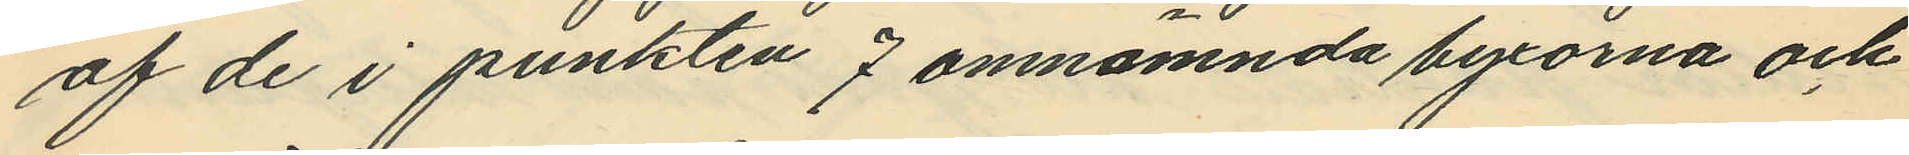af de i punkten 7 omnämnda byxorna och
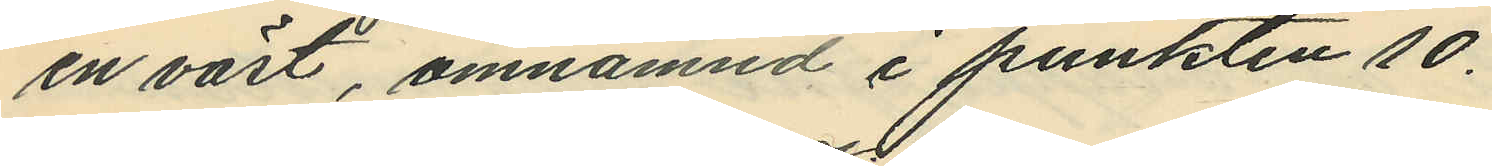en väst, omnämnd i punkten 10.
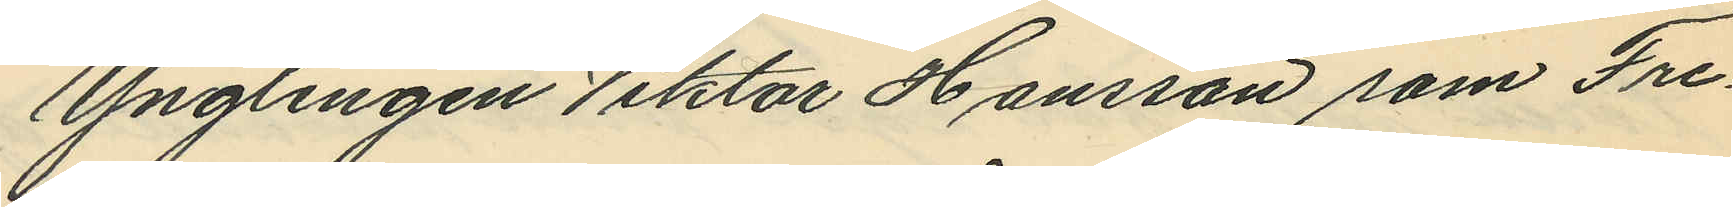Ynglingen Viktor Hansson som Fre¬
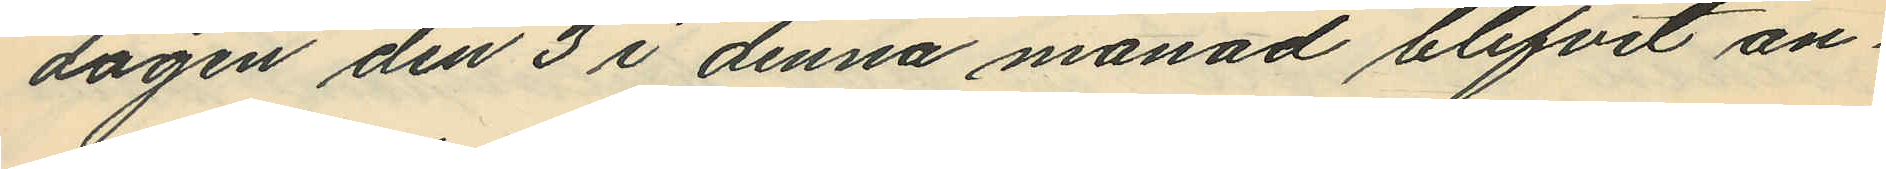dagen den 3 i denna månad blifvit an¬
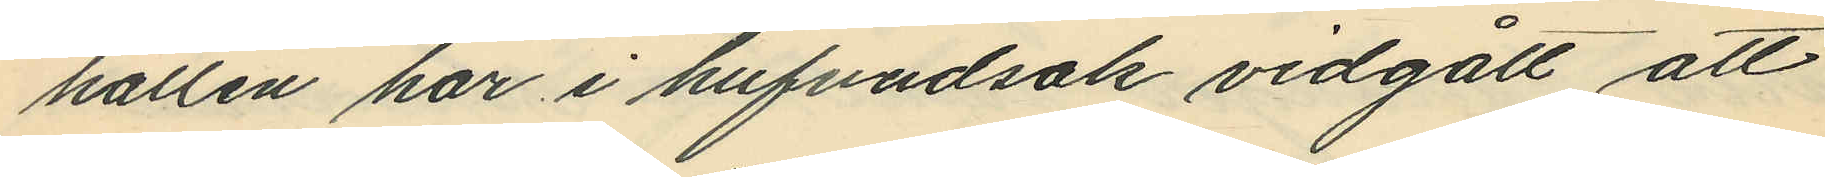hållen har i hufvudsak vidgått att
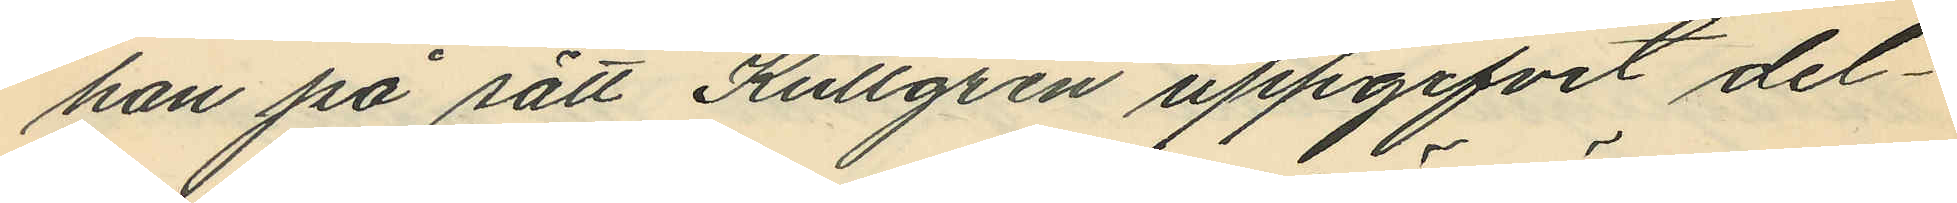han på sätt Kullgren uppgifvit del¬
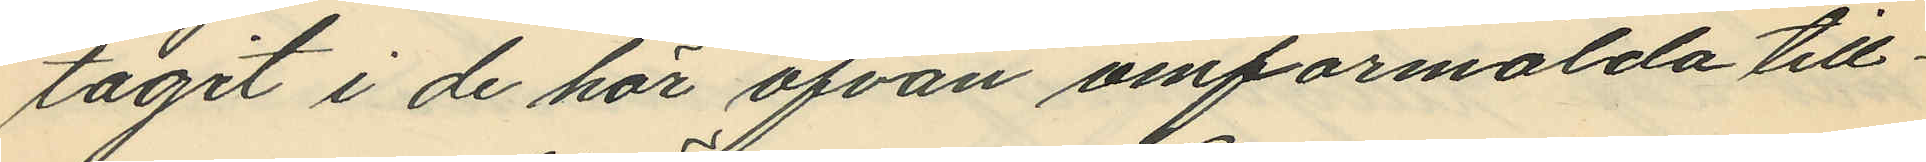tagit i de här ofvan omförmälda till¬
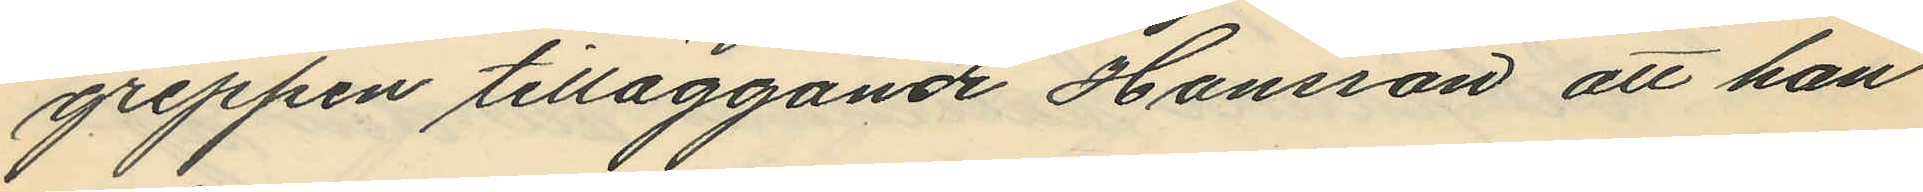greppen tilläggande Hansson att han
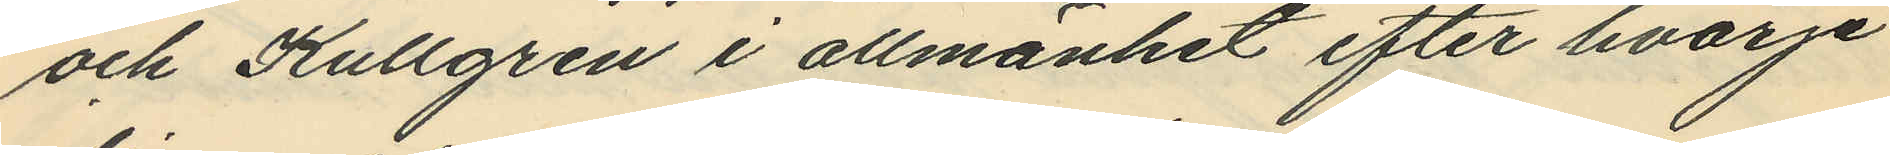och Kullgren i allmänhet efter hvarje
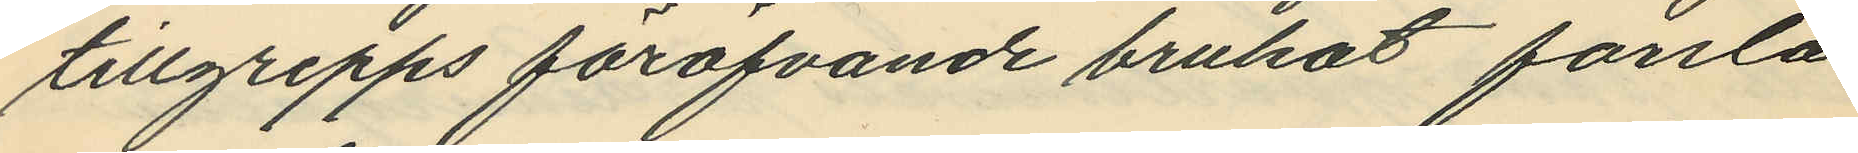tillgrepps föröfvande brukat forsla
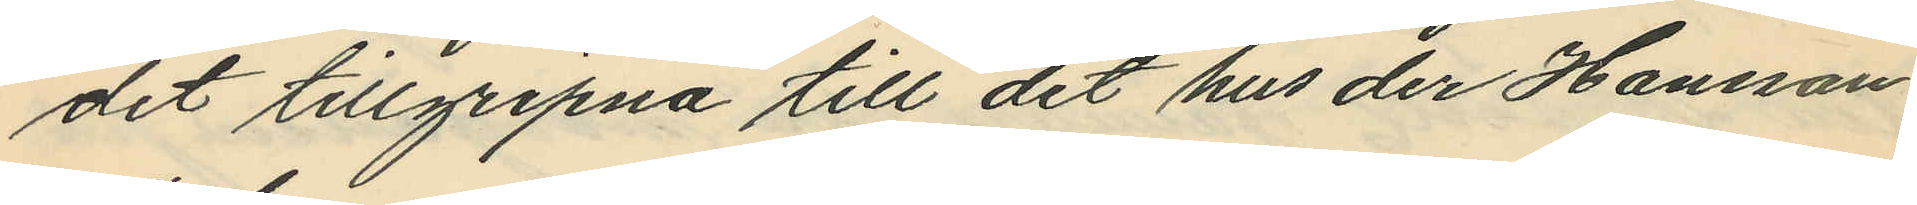det tillgripna till det hus der Hansson
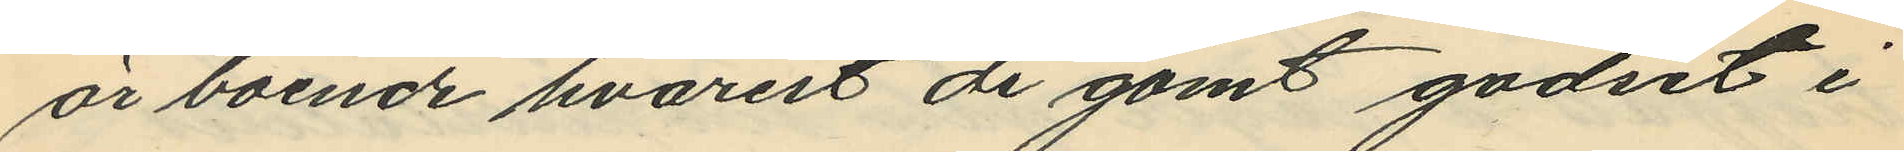är boende hvarest de gömt godset i
